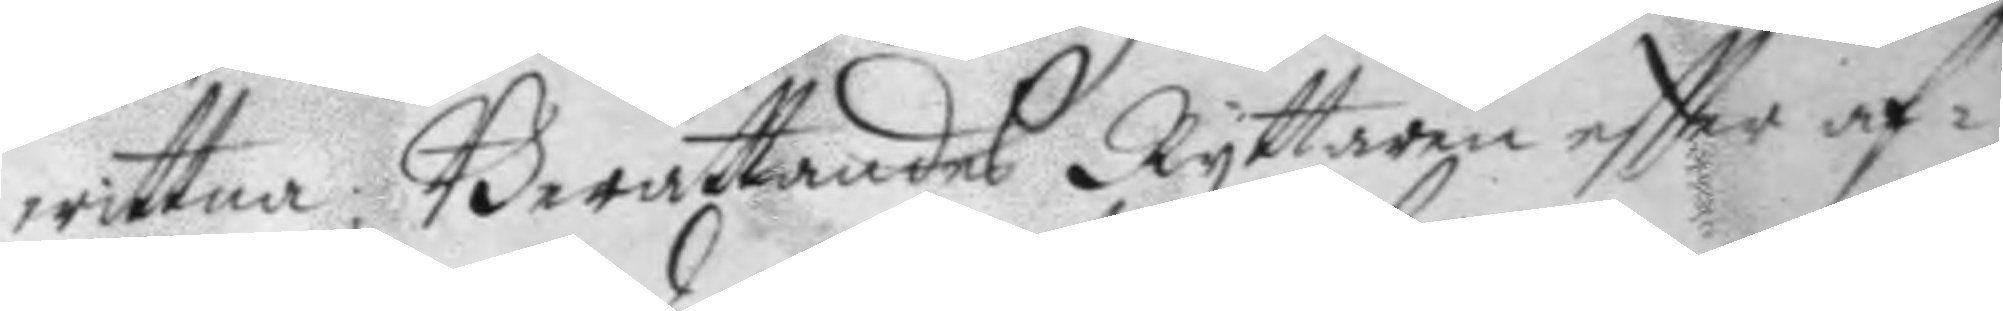wittna; Berättandes Ryttaren eftter af¬
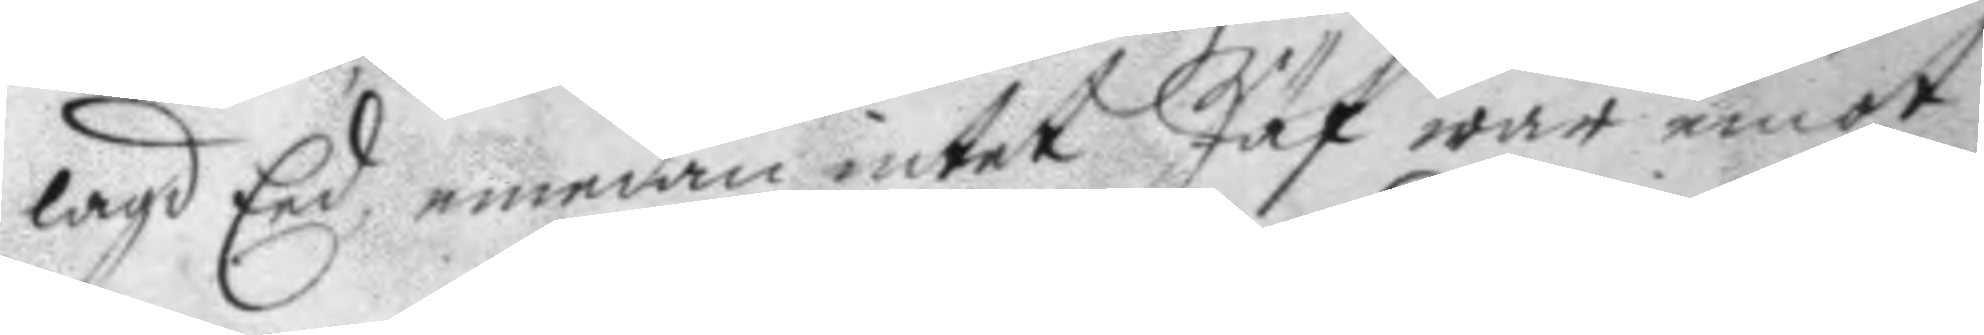lagd Eed, emedan intet Jäf war emot
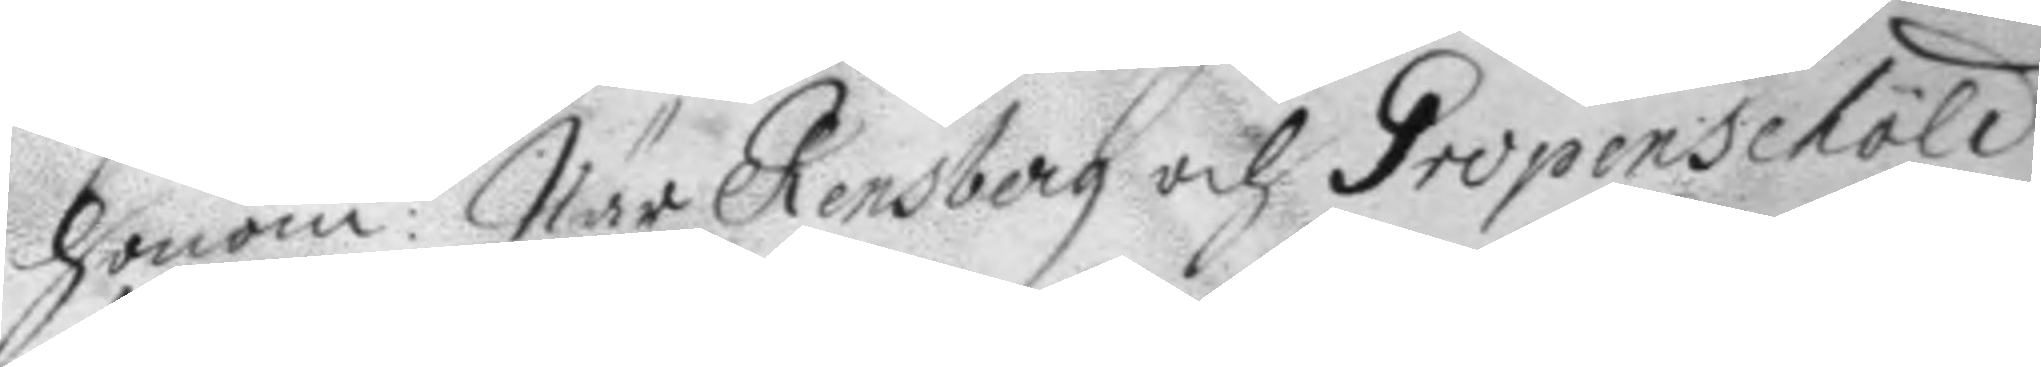honom: När Rensberg och Gripenschöld
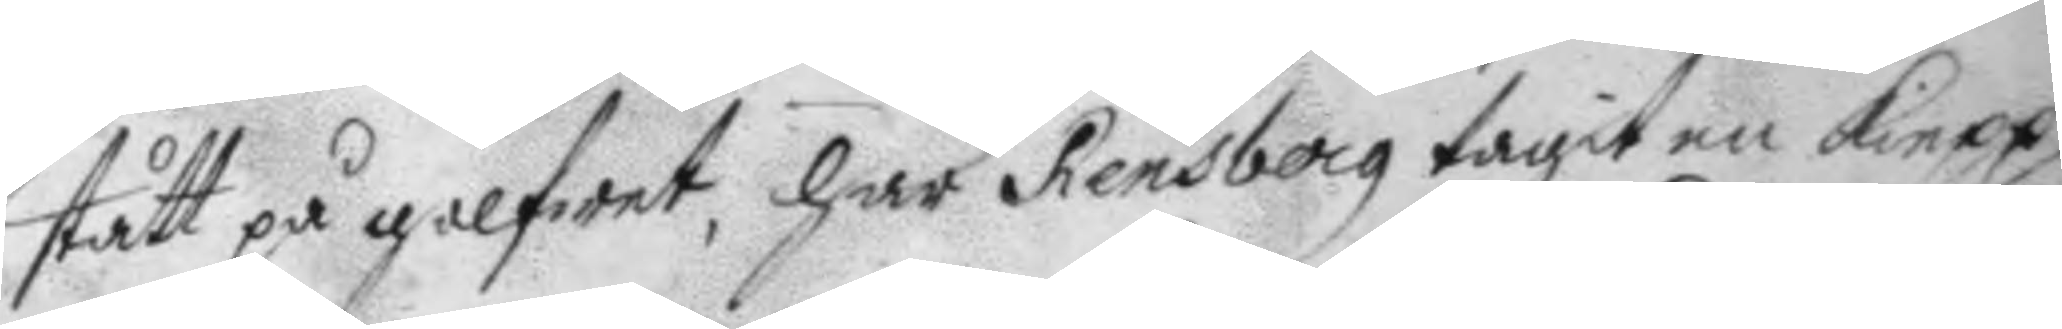stått på golfwet, har Rensberg tagit en kiepp,
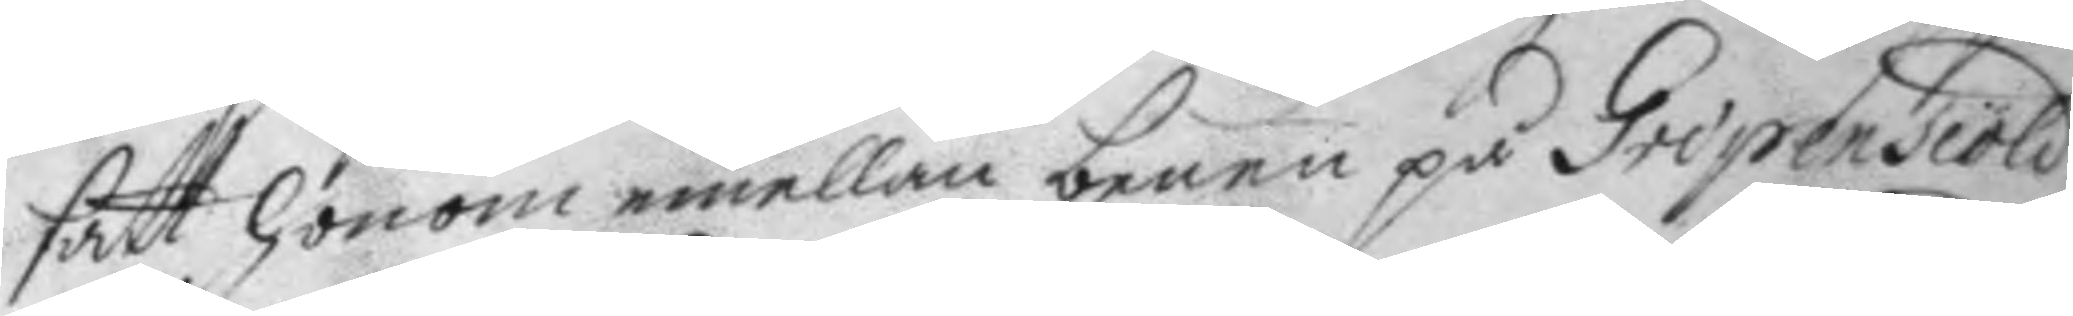satt honom emellan benen på Gripenschöld
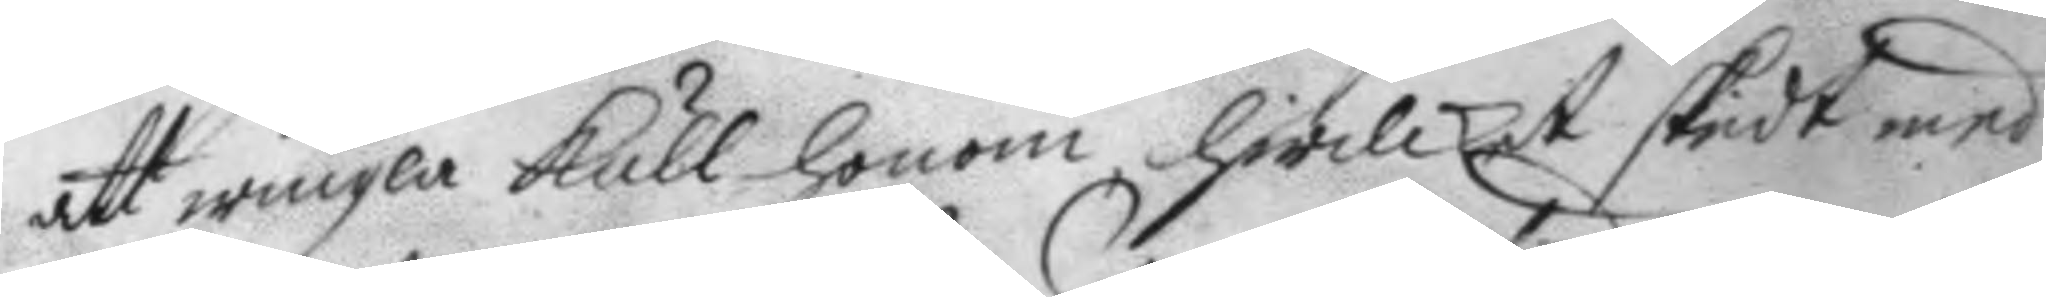att wingla kull honom, hwilket skiedt med
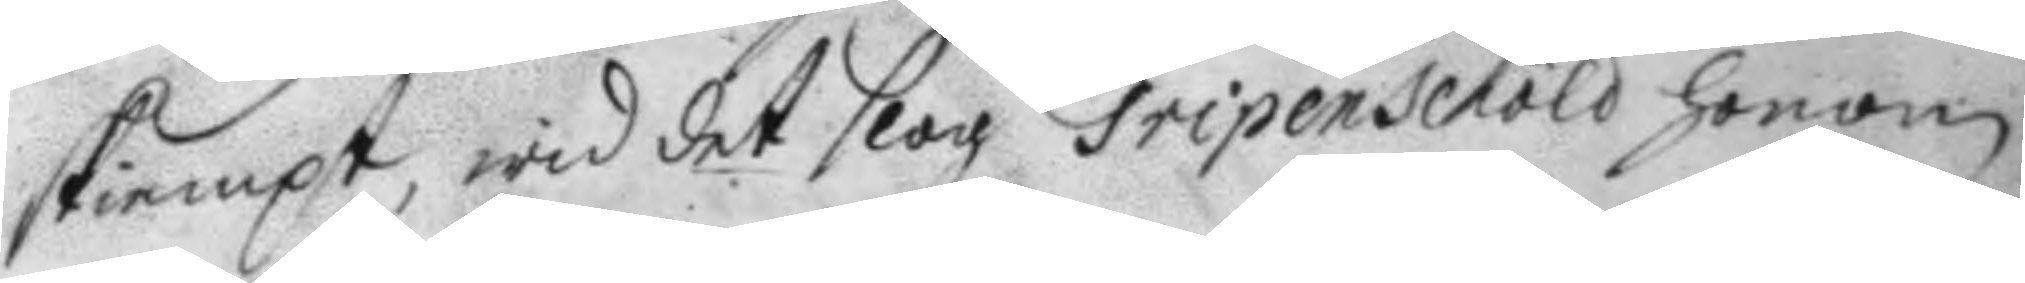skiempt, wid det slog Gripenschöld honom
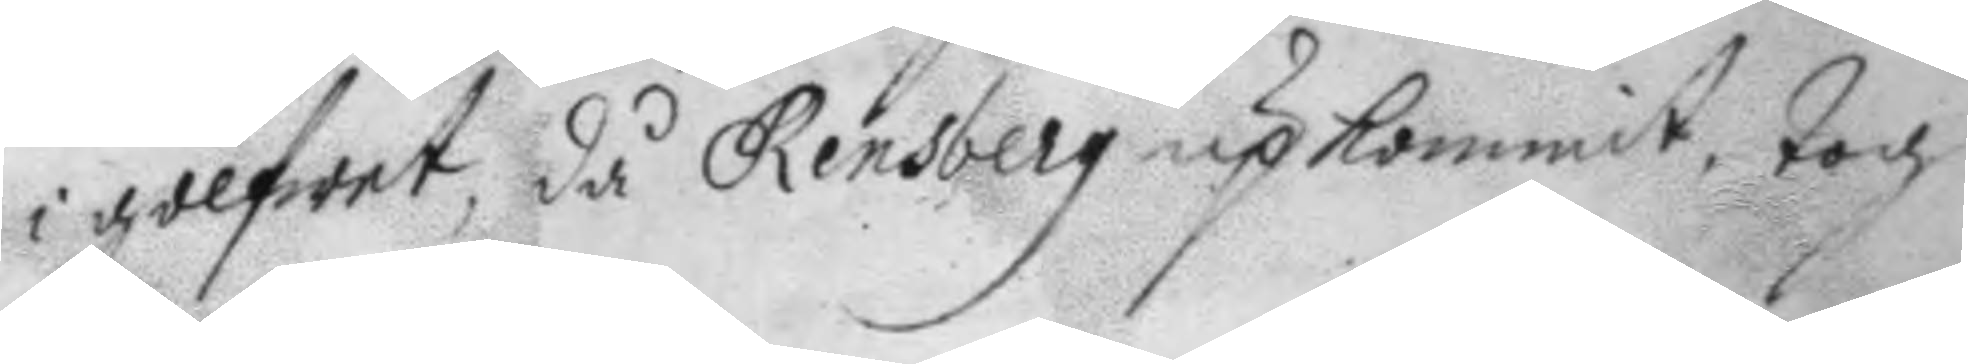i golfwet, då Rensberg upkommit, tog
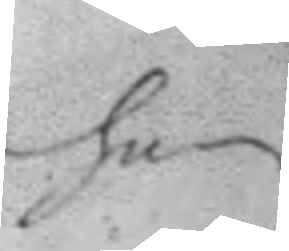han
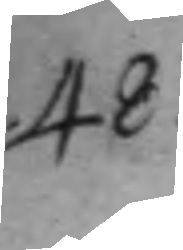48.
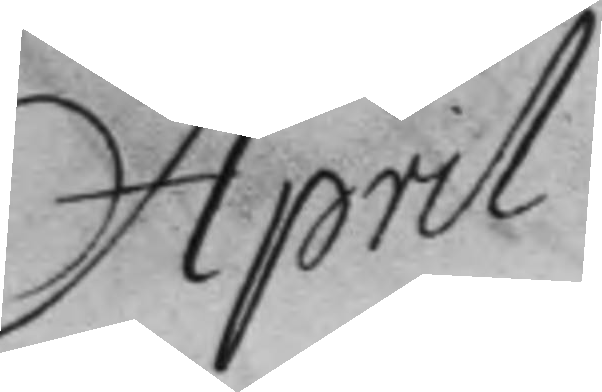April
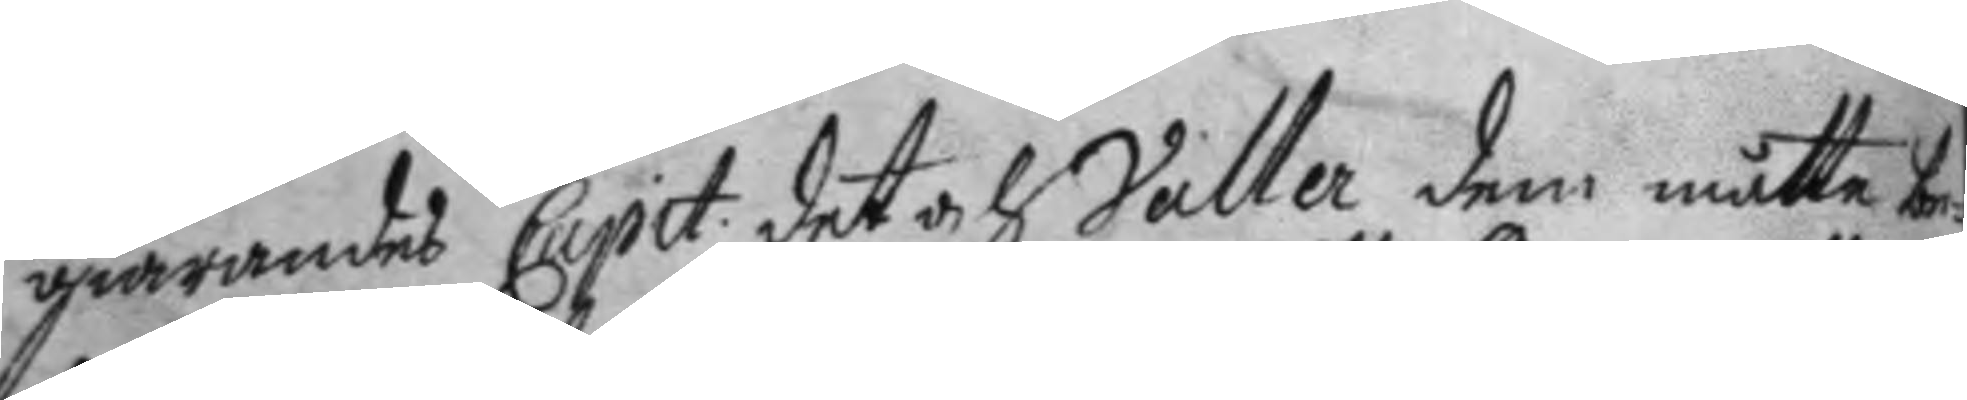giörandes Capit. det och Valler dem måtte be¬
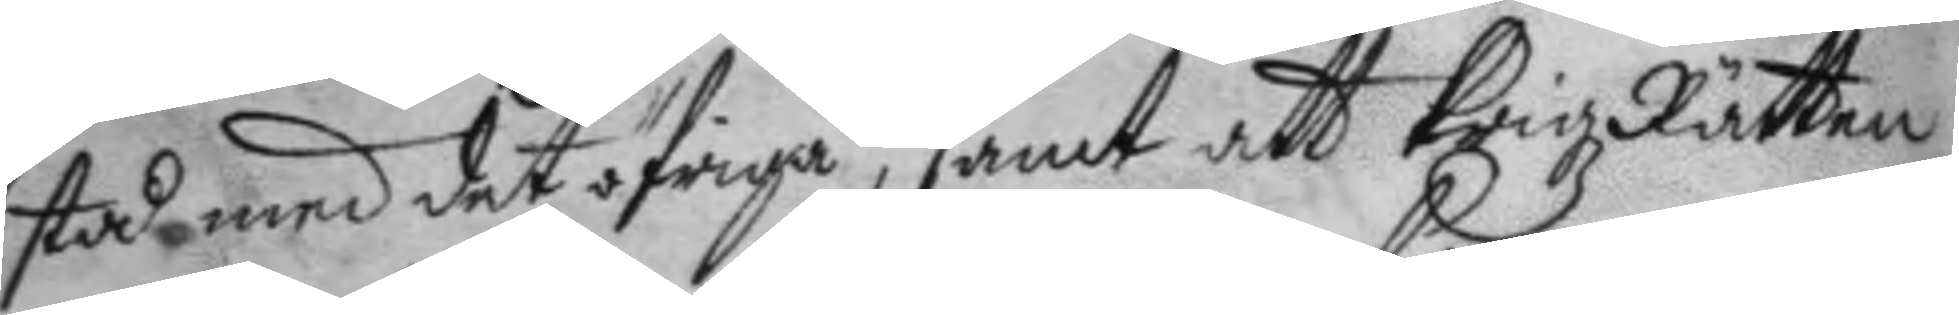stå med det öfriga, samt att Krigz Rätten
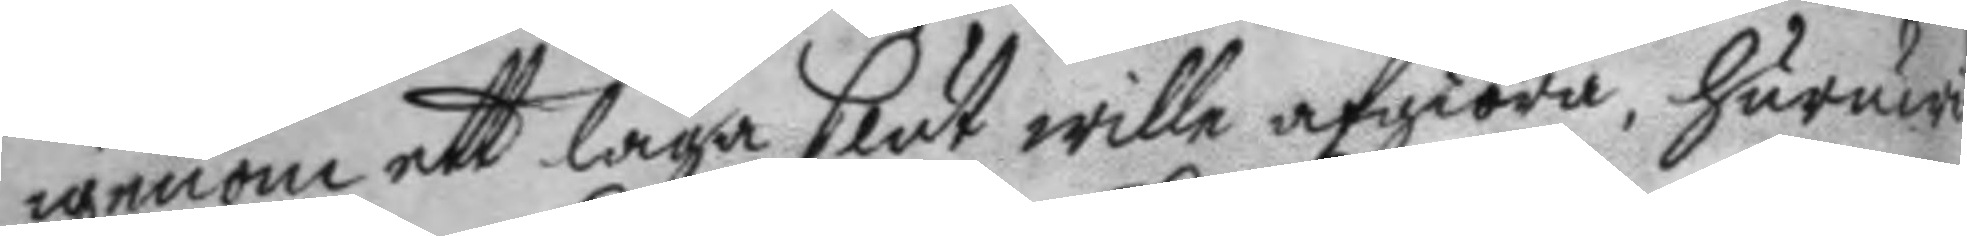igenom ett laga slut wille afgiöra, huruwi¬
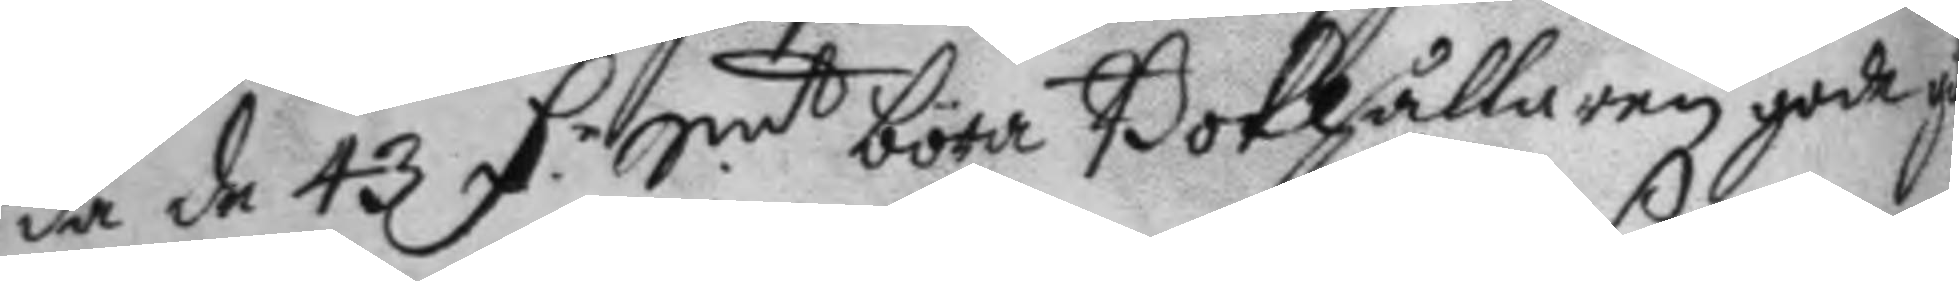da de 43 D.r Smt böra Bokhållaren gode gi¬
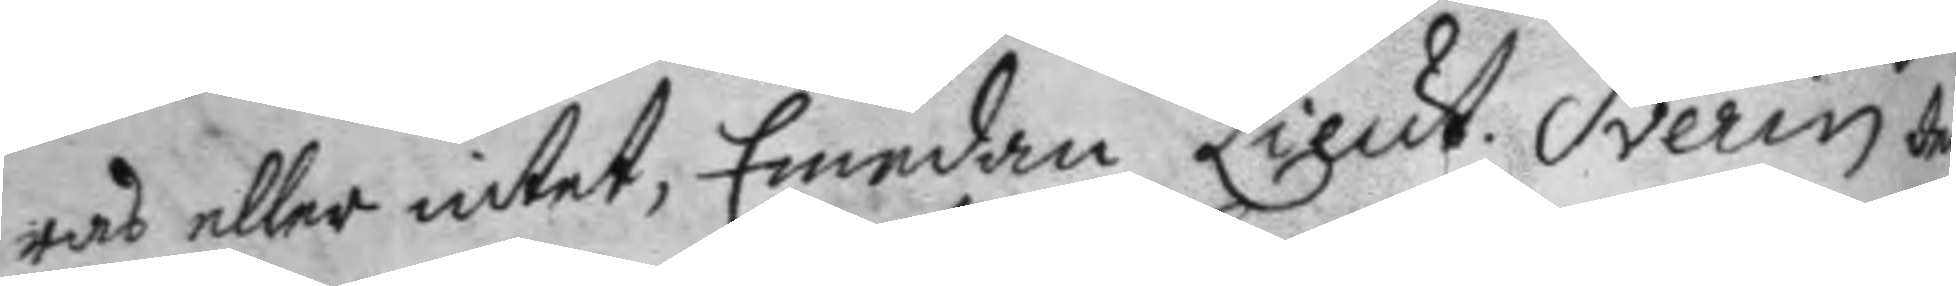ras eller intet, Emedan Lieut. Sverin d
